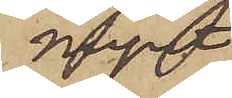mynt
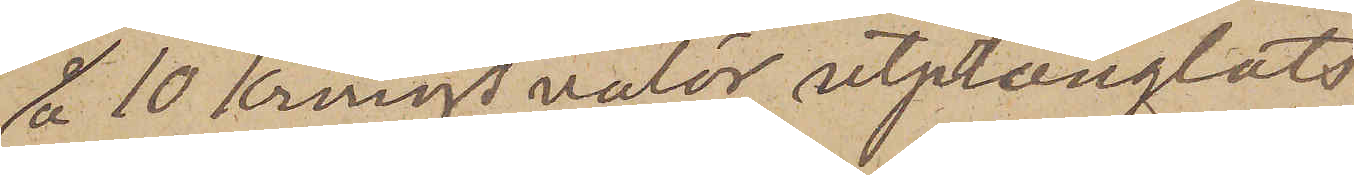á 10 kronors valör utprånglats
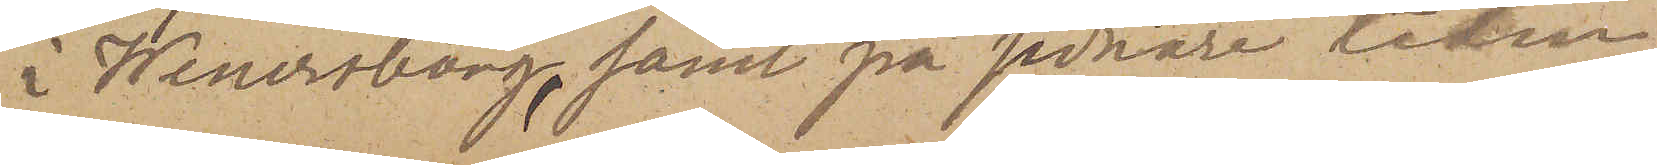i Wenersborg, samt på sednare tiden
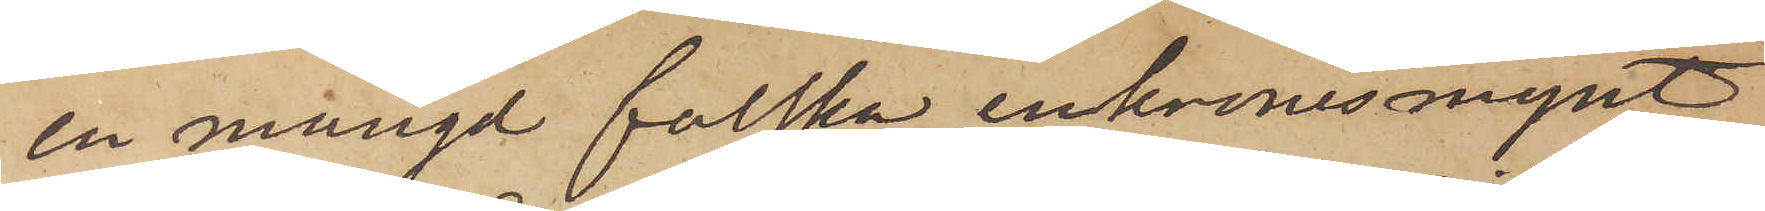en mängd falska enkronesmynt
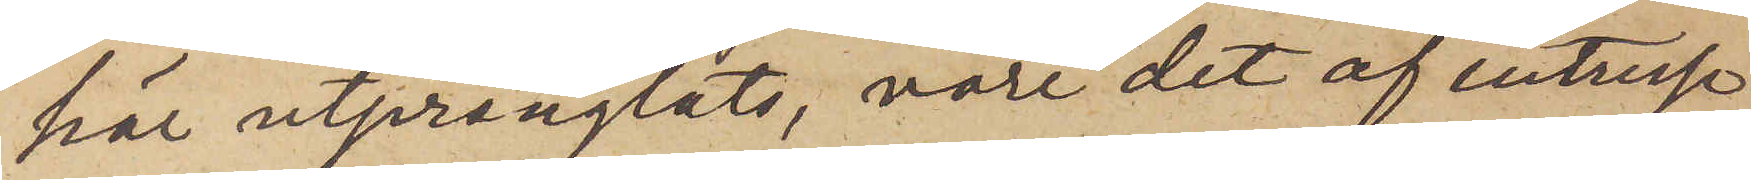här utprånglats, vore det af intresse
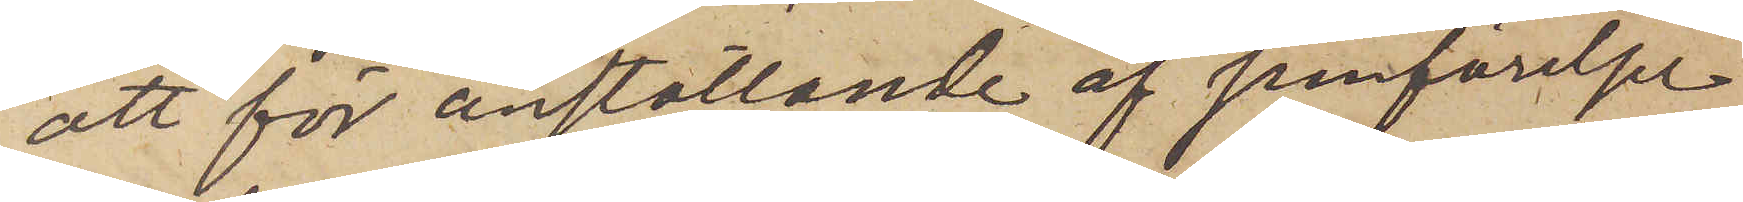att för anställande af jemförelse
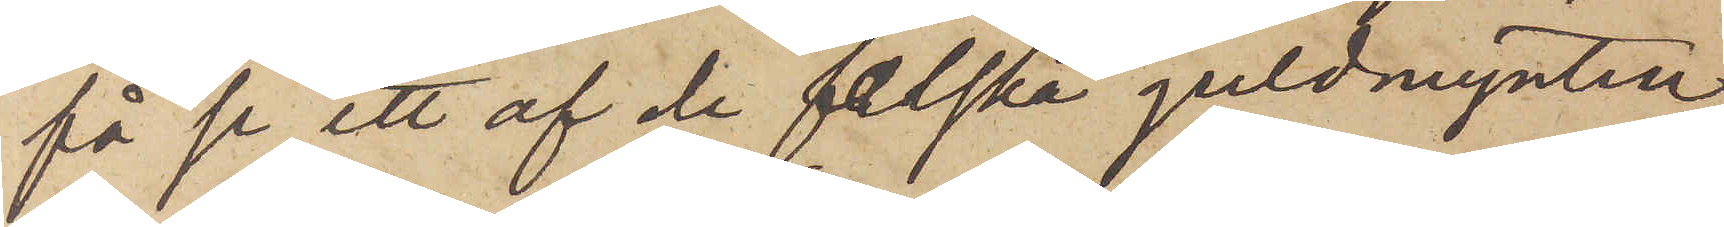få se ett af de falska guldmynten,
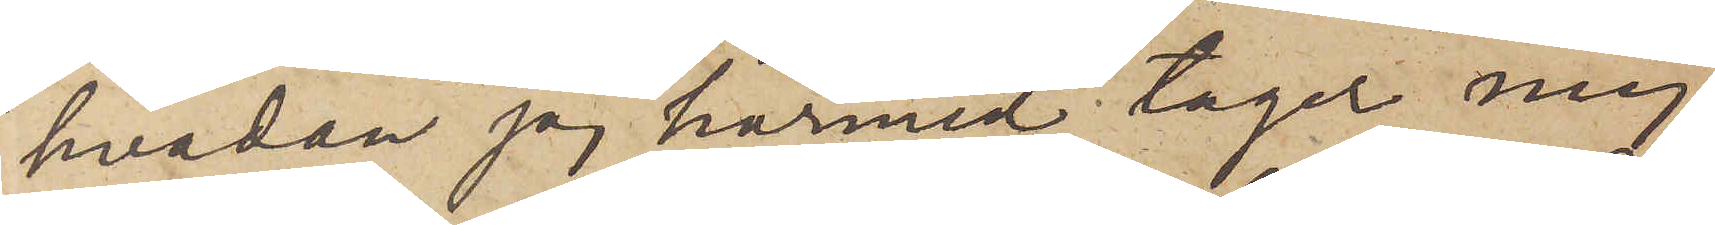hvadan jag härmed tager mig
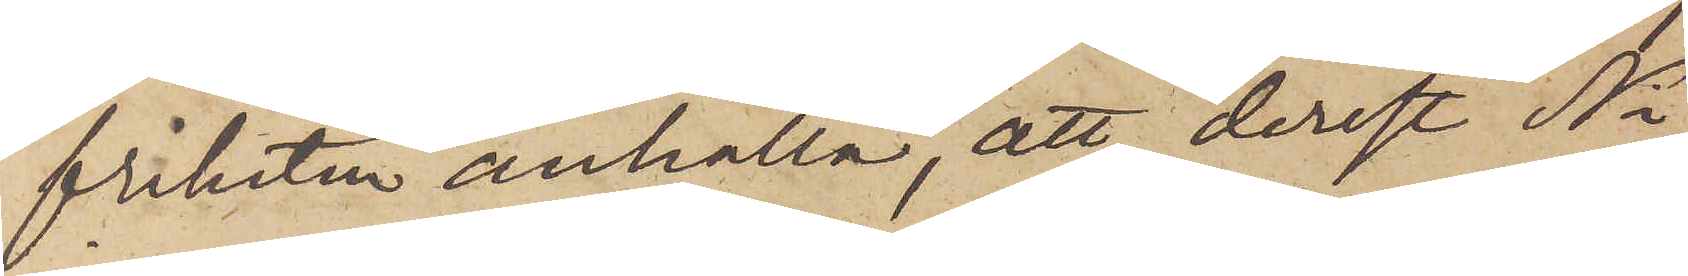friheten anhålla, att, derest Ni
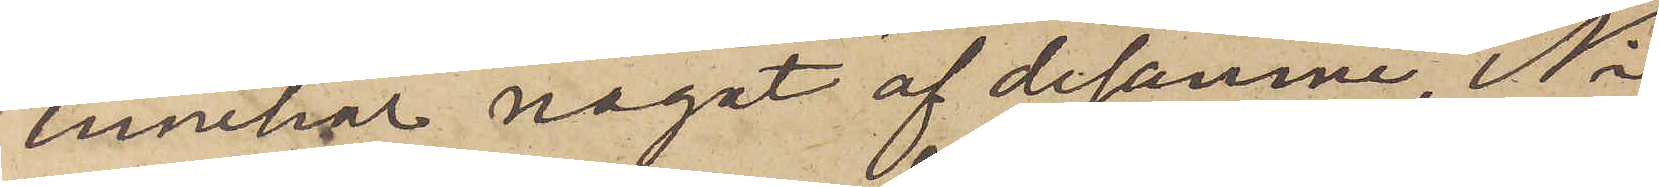innehar något af desamme, Ni
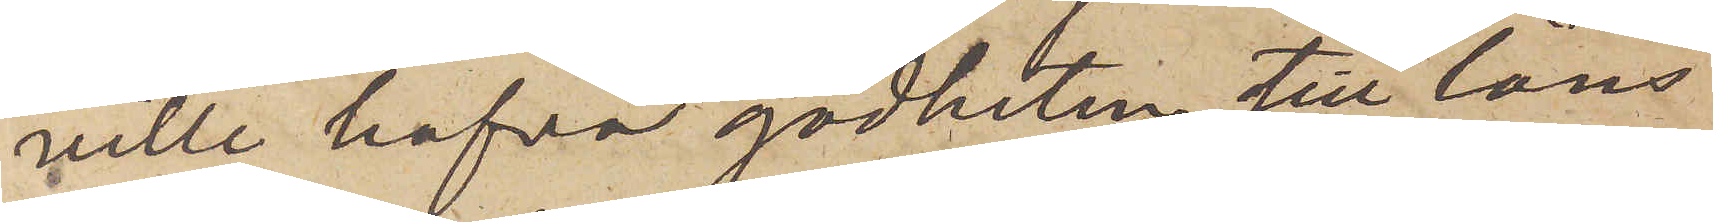ville hafva godheten till låns
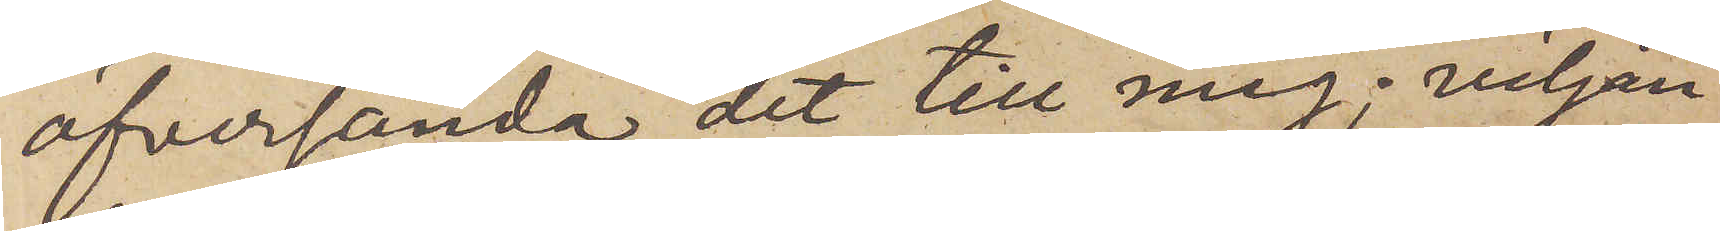öfversända det till mig; viljan¬
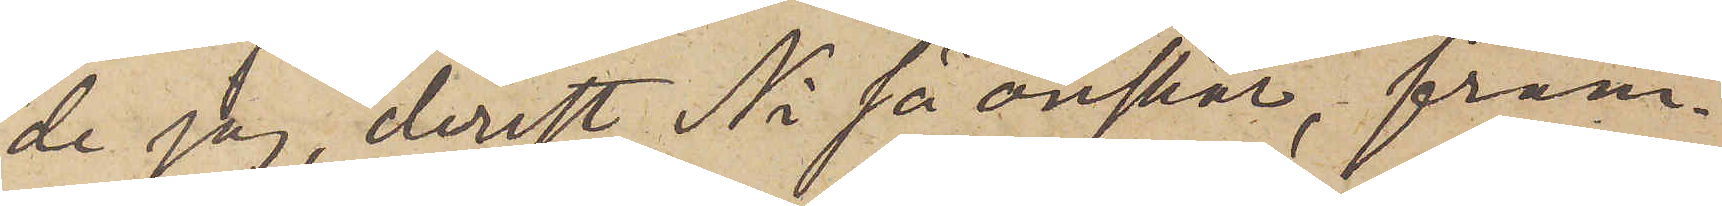de jag, derest Ni så önskar, fram¬
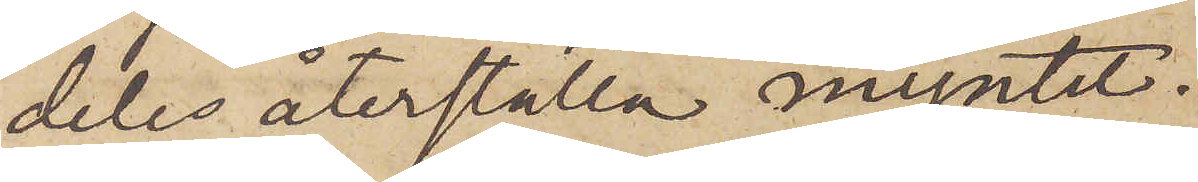deles återställa myntet.
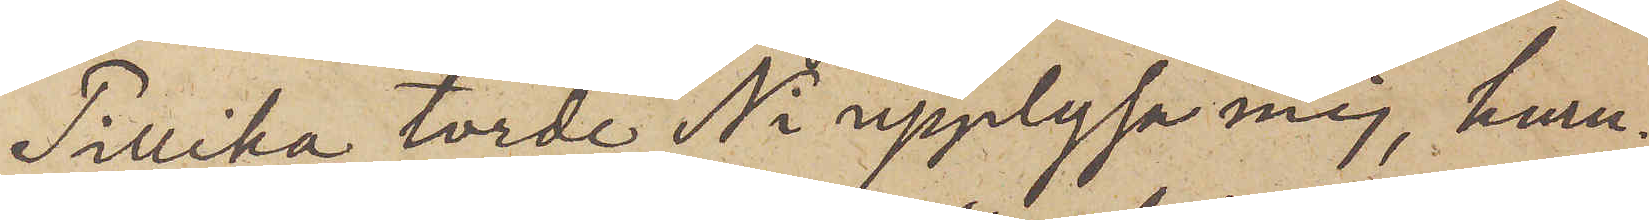Tillika torde Ni upplysa mig, huru¬
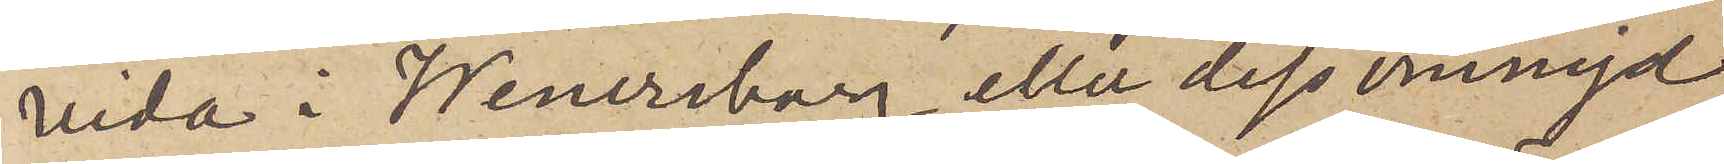vida i Wenersborg eller dess omnejd
